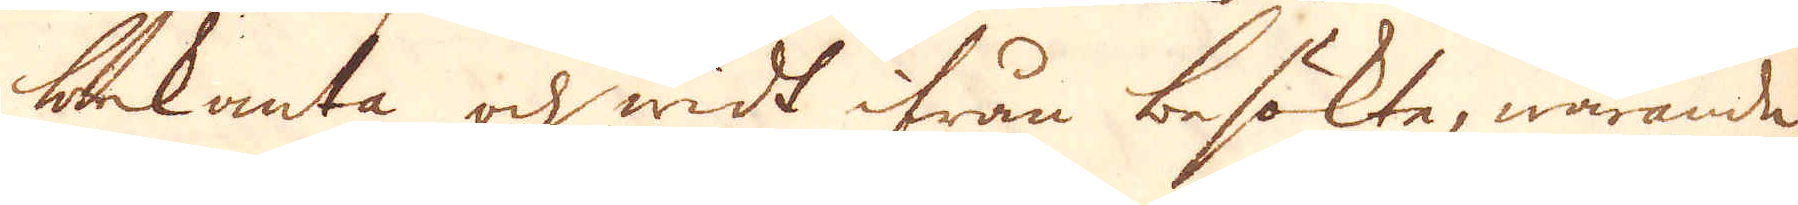bekanta och widt ifrån besökte, warande
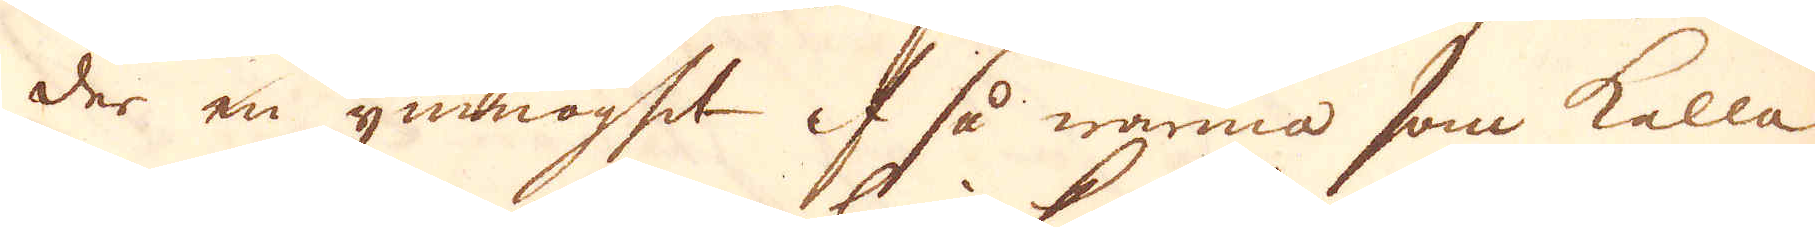der en ymnoghet af så warma som kalla
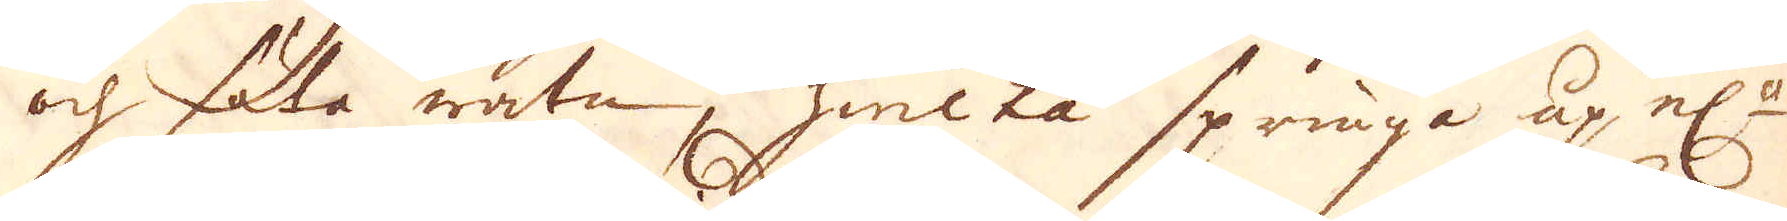och söta watn, hwilka springa up el:r
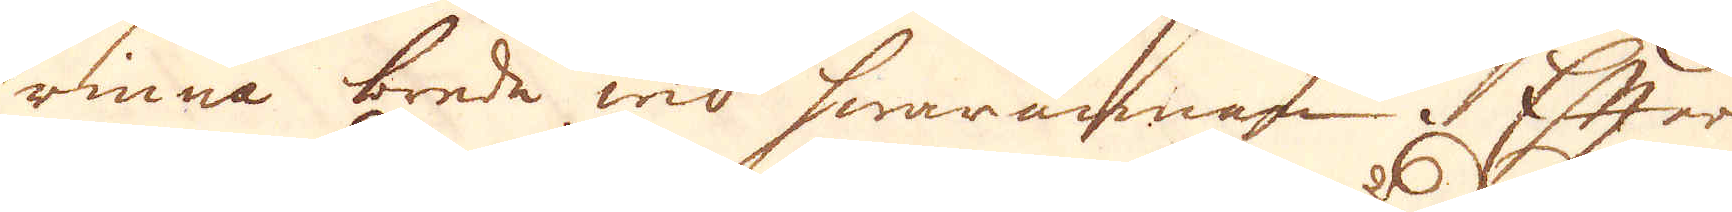rinna brede wid hwarannan. Efter
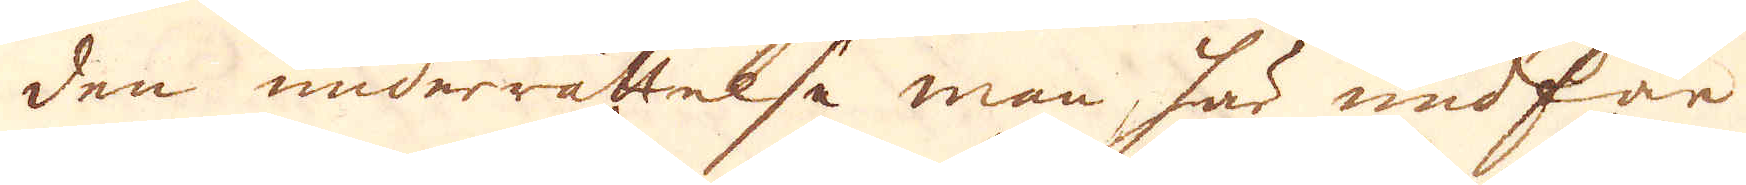den underrättelse man här med får
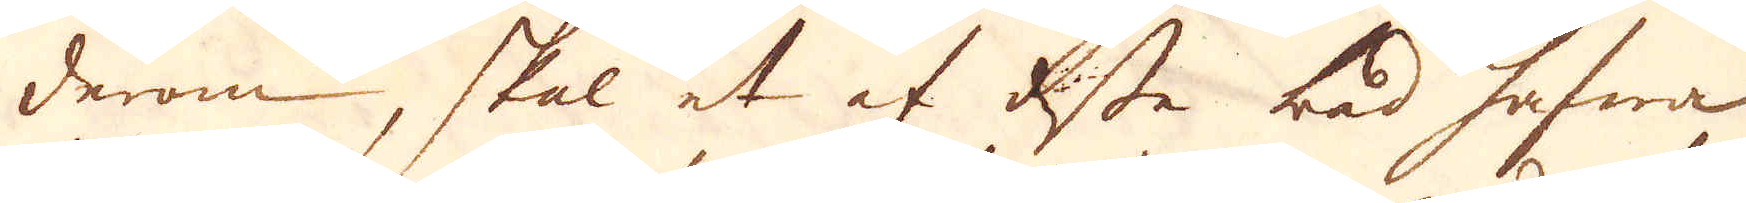derom, skal et af desse bad hafwa
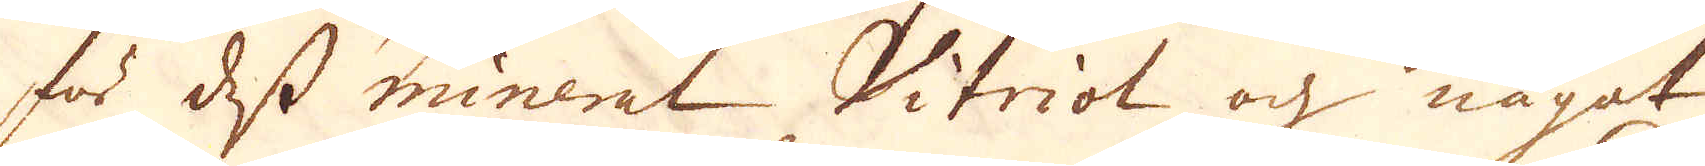för dess mineral Vitriol och något
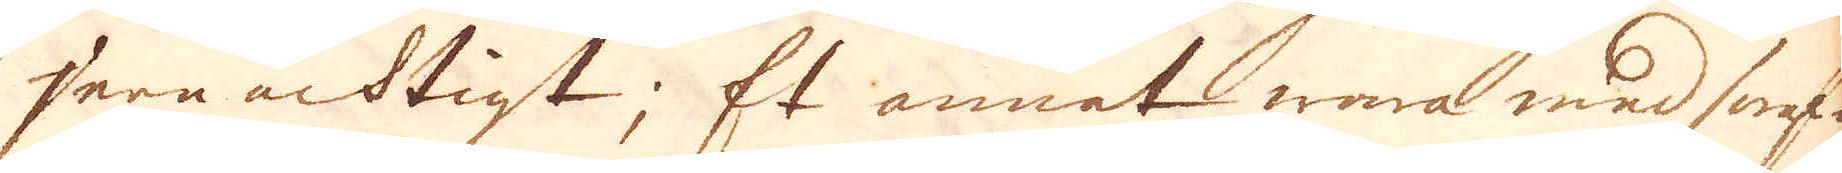jern achtigt; Et annat wara med swaf-
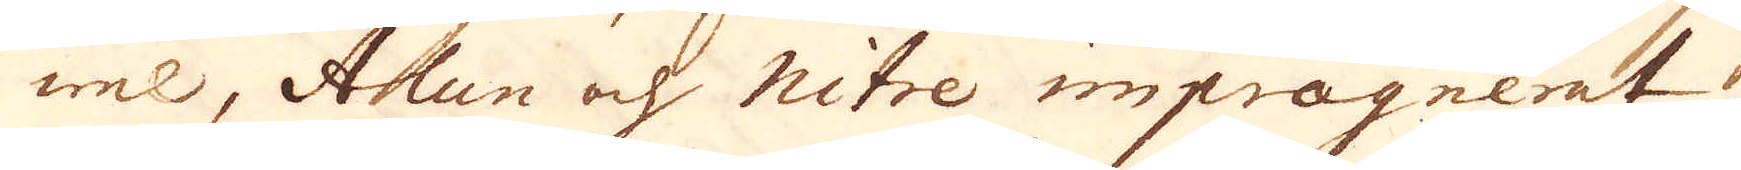wel, Alun och nitre impregnerat;
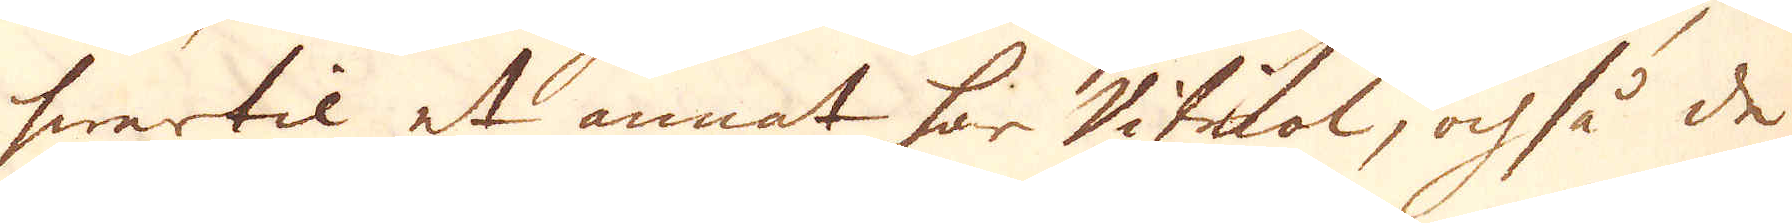hwartil et annat har Vitriol, och så de
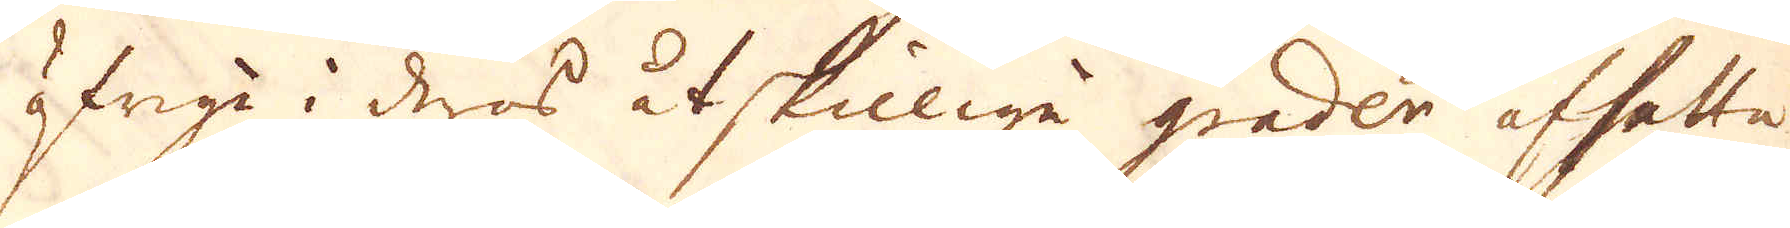öfriga i deras åtskillige grader afsatta
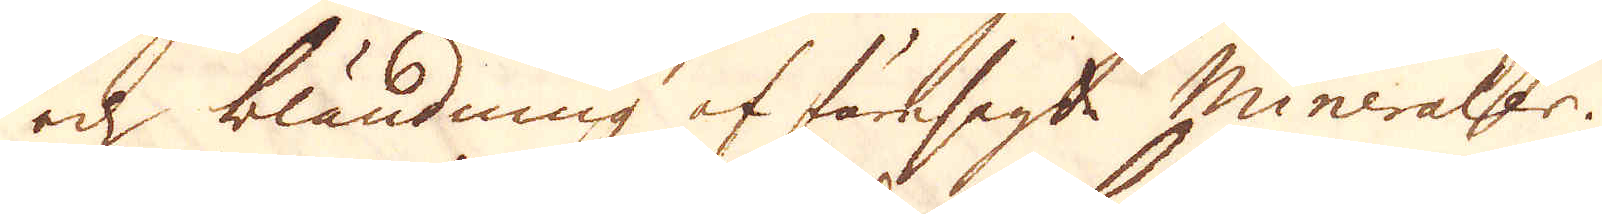och bländning af föresagd mineraler.
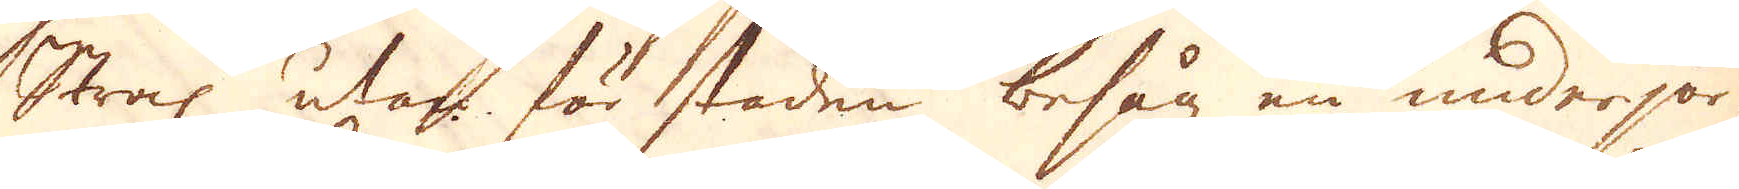Strax utan för staden besåg en underjor-
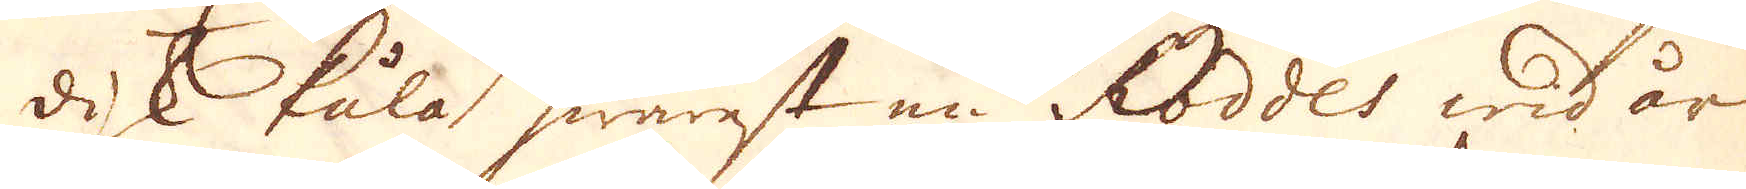disk kula, hwarest en Roddées wid år
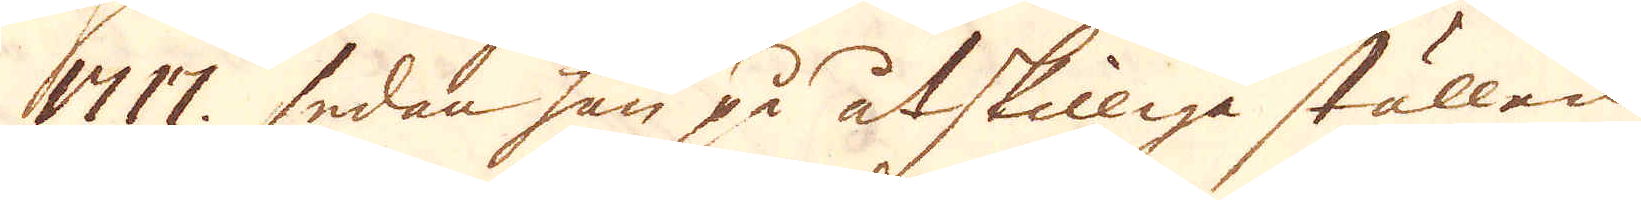1717, sedan han på åtskilliga ställen
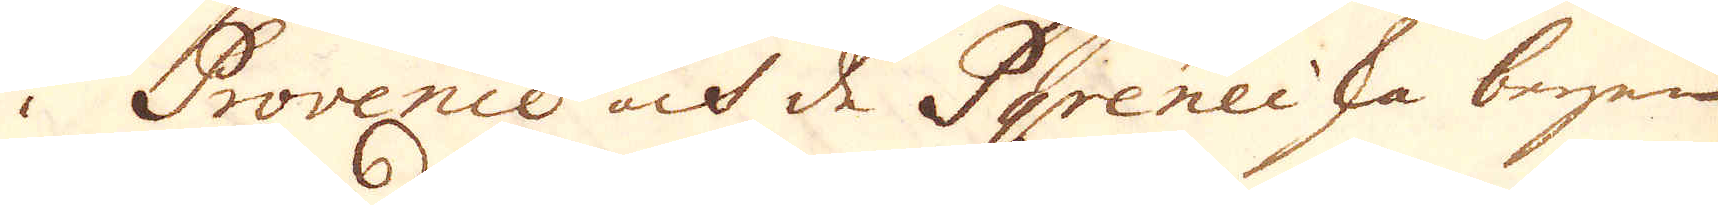i Provence och de Pyreneiska bergen
